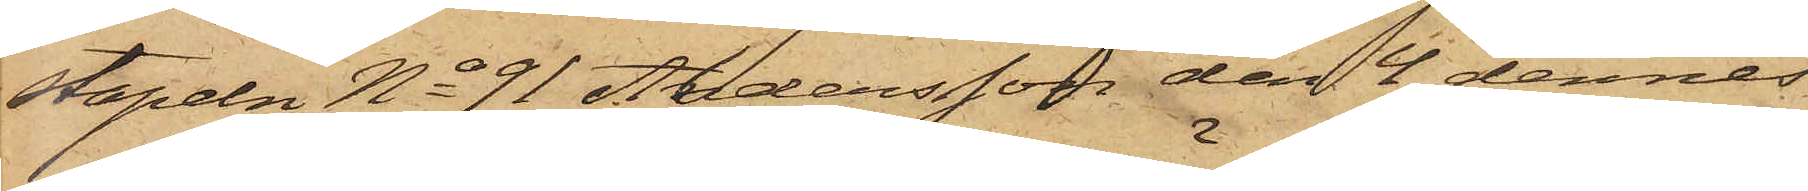stapeln No 91 Andersson den 4 dennes
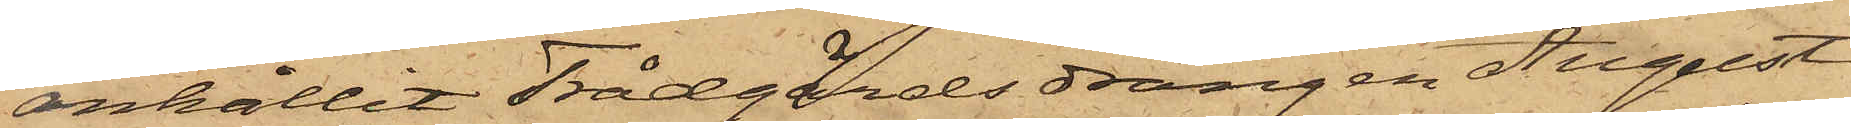anhållit Trädgårdsdrängen August
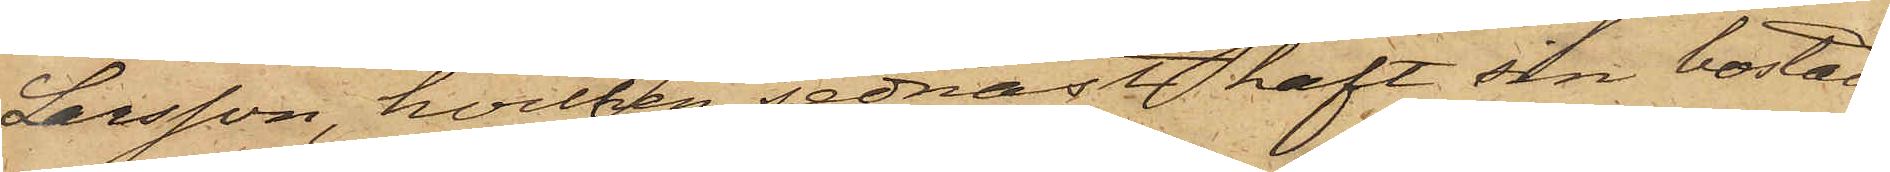Larsson, hvilken sednast haft sin bostad
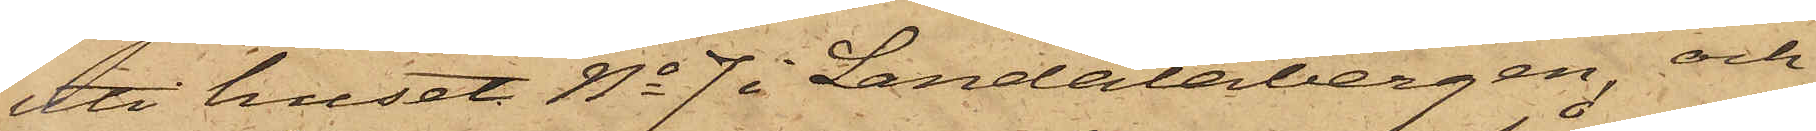uti huset No 7 i Landalabergen, och
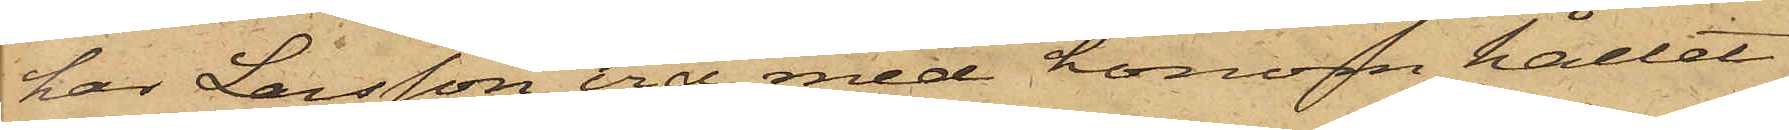har Larsson vid med honom hållet
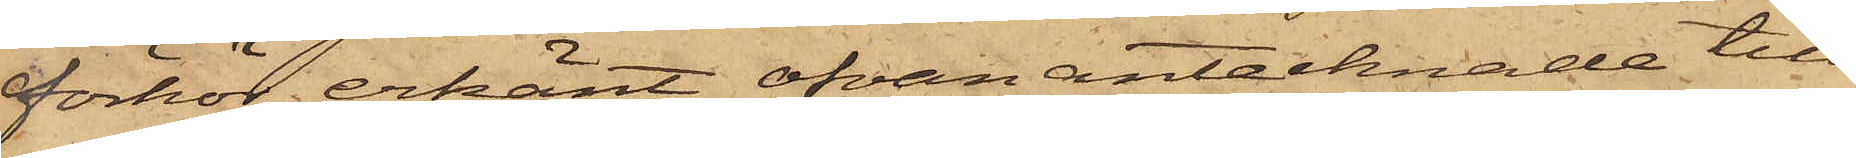förhör erkänt ofvan antecknade till¬
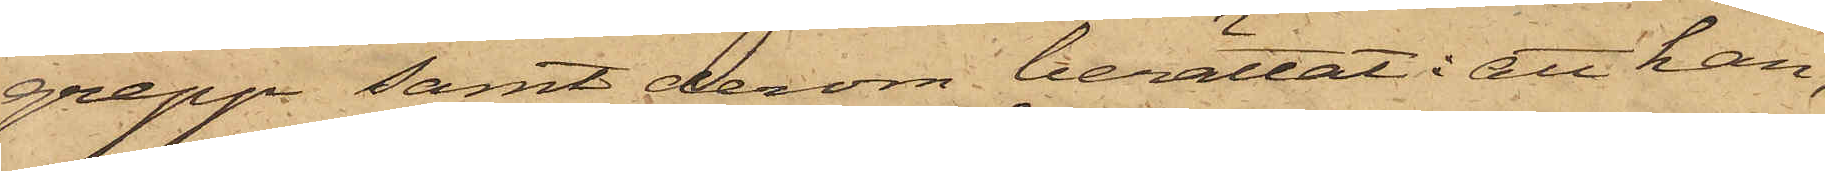grepp; samt derom berättat: att han,
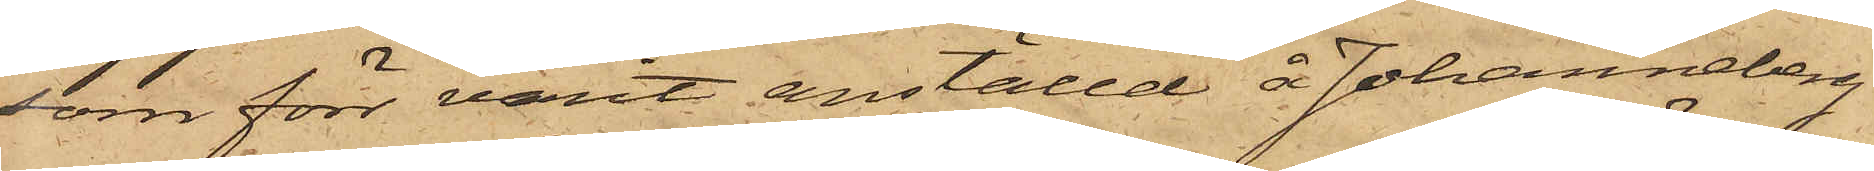som förr varit anställd å Johanneberg
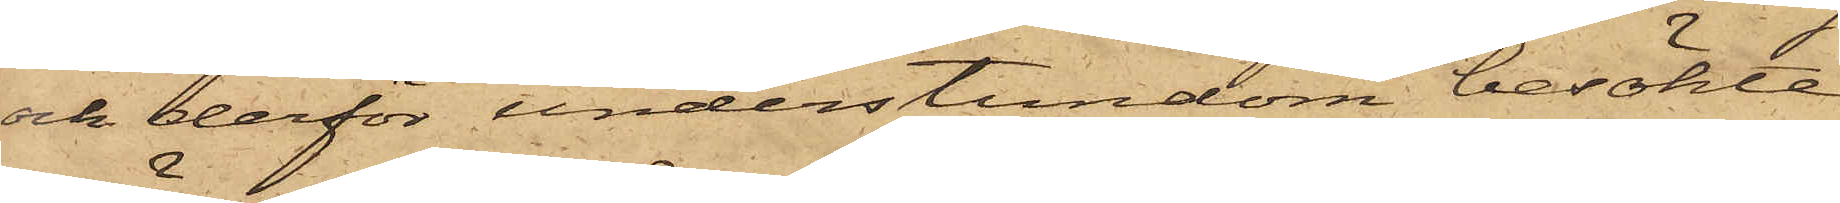och derför understundom besökte
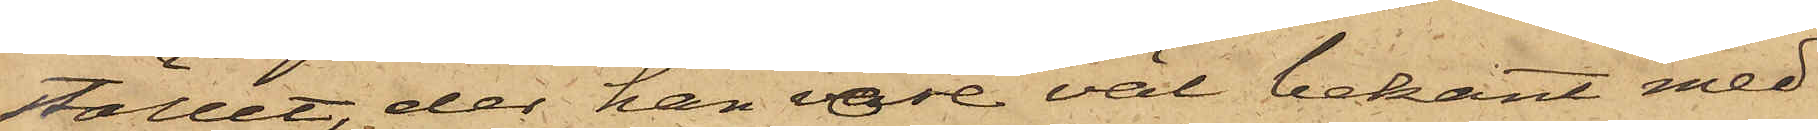stället, der han vore väl bekant med
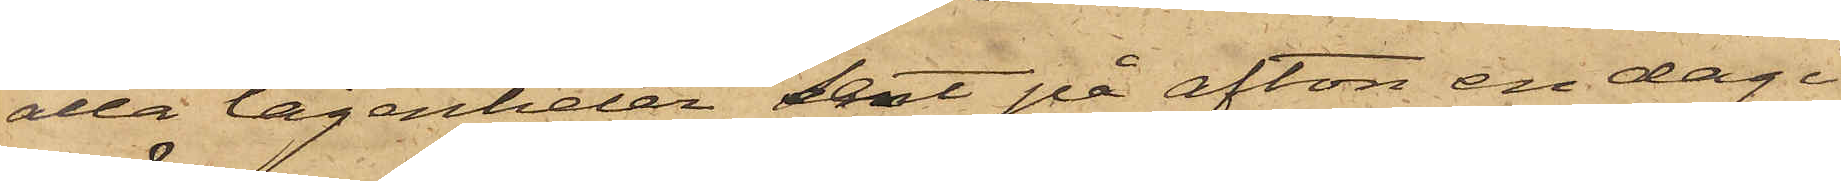alla lägenheter, samt på afton en dag i
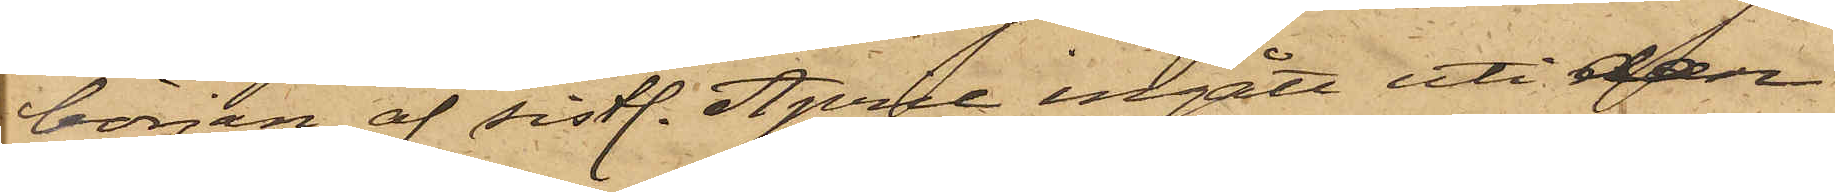början af sistl. April ingått uti den
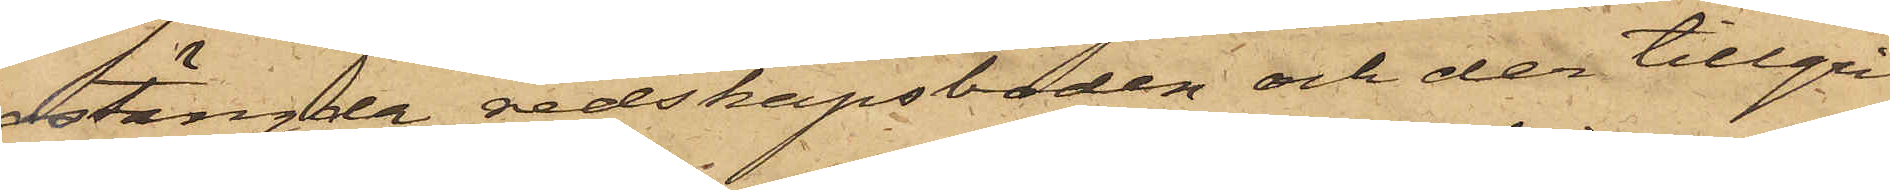stängde redskapsboden och der tillgri¬
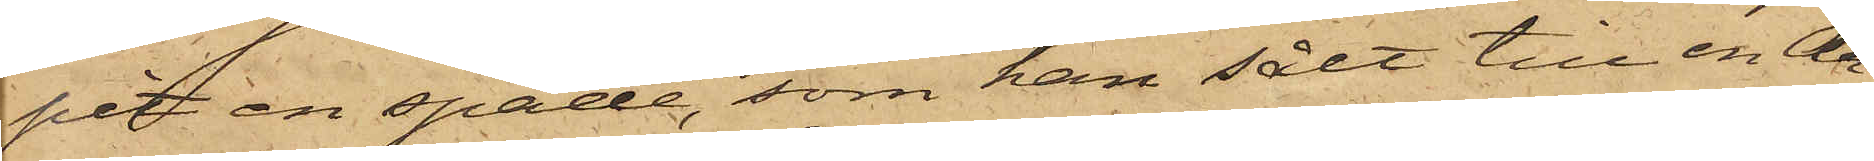pit en spade, som han sålt till en An¬
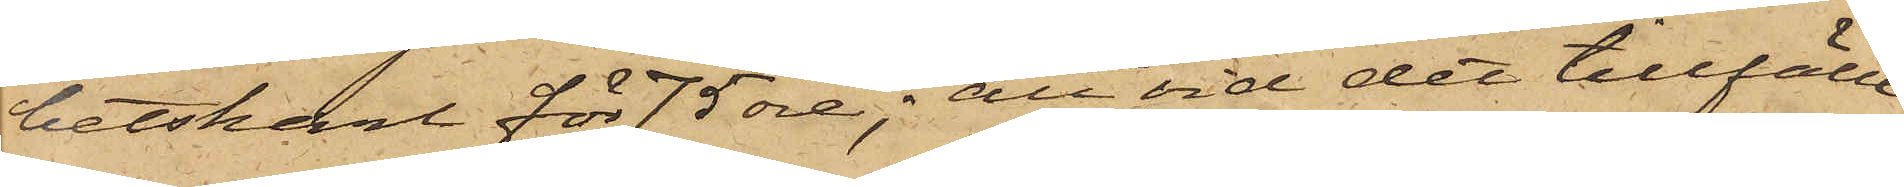betskarl för 75 öre; att vid det tillfälle
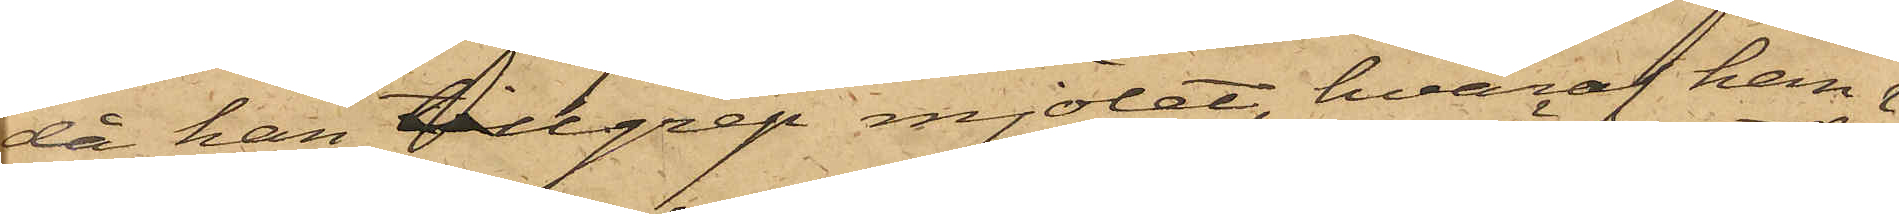då han tillgrep mjölet, hvaraf han 
